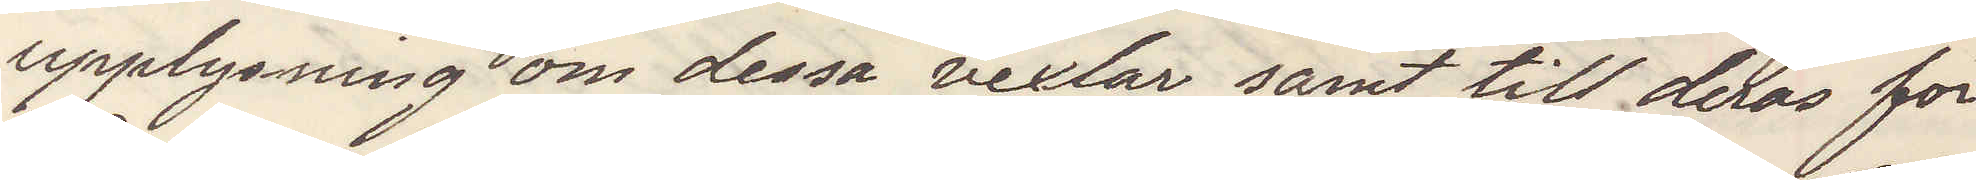upplysning om dessa vexlar samt till deras för¬
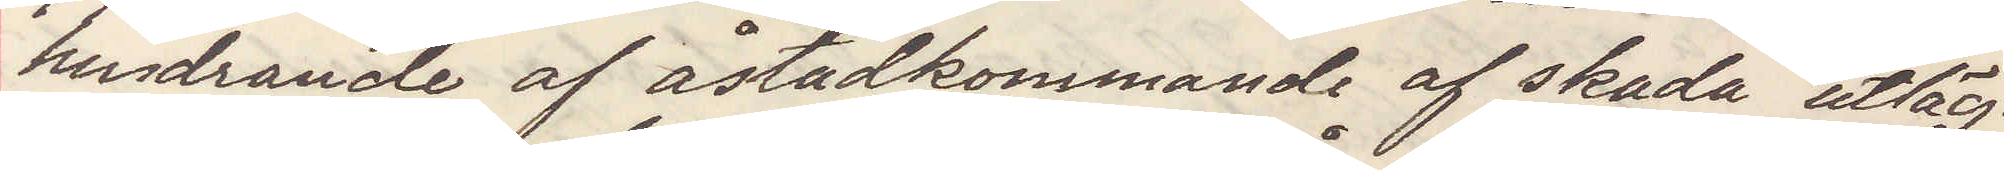hindrande af åstadkommande af skada utläg¬
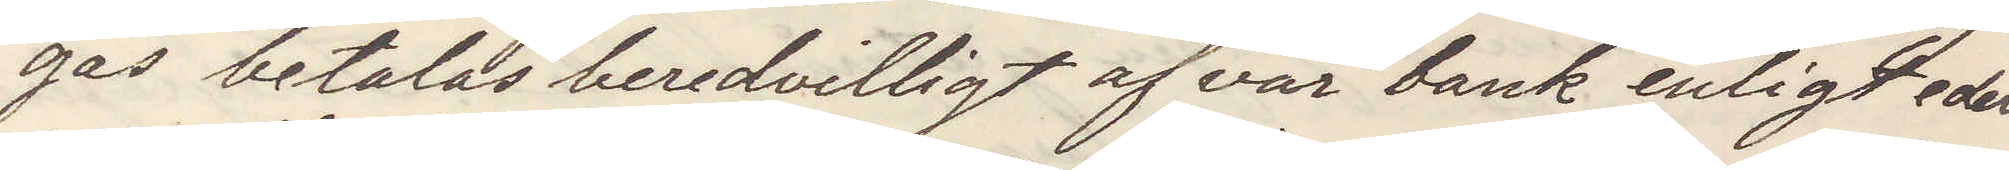gas betalas beredvilligt af vår bank enligt eder
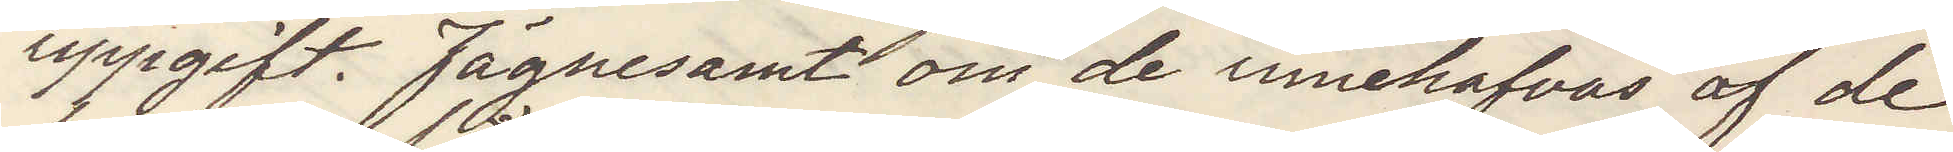uppgift Fägnesamt om de innehafvas af de 
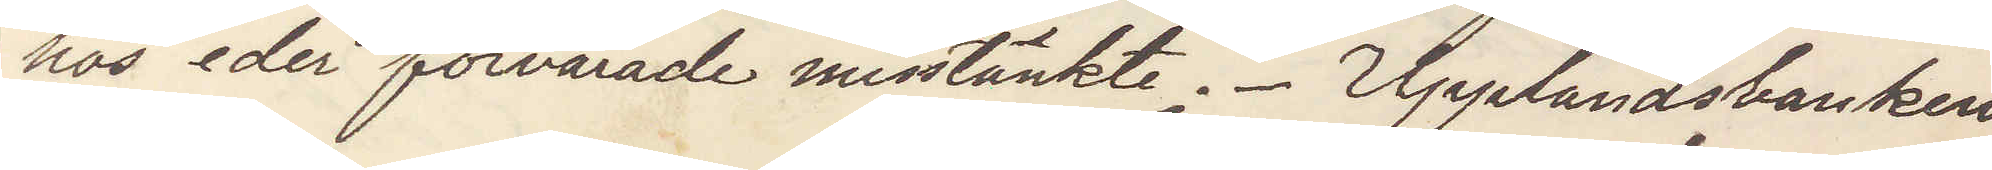hos eder förvarade misstänkte. Upplandsbanken
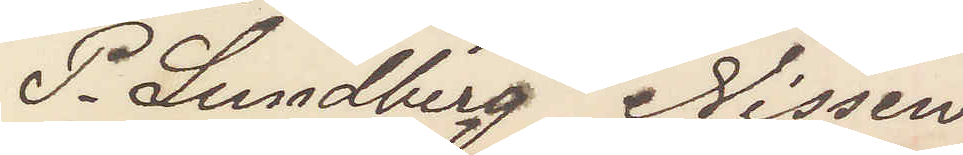P. Sundberg Nissen
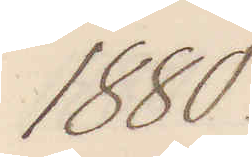1880.
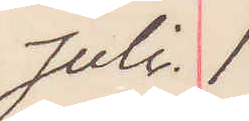Juli 1.
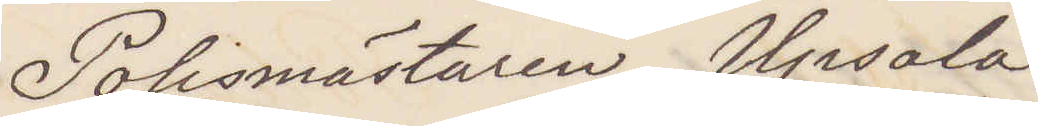Polismästaren Upsala
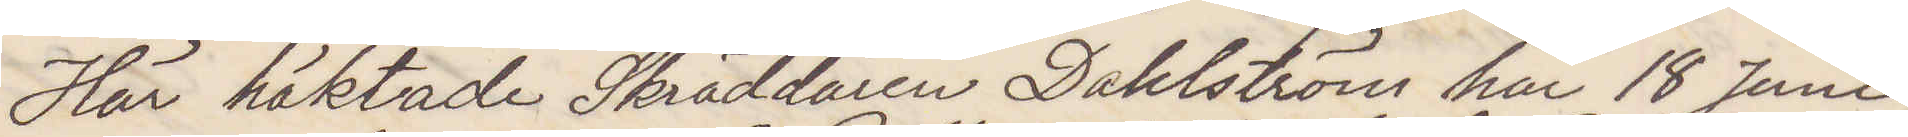Här häktade Skräddaren Dahlström har 18 Juni
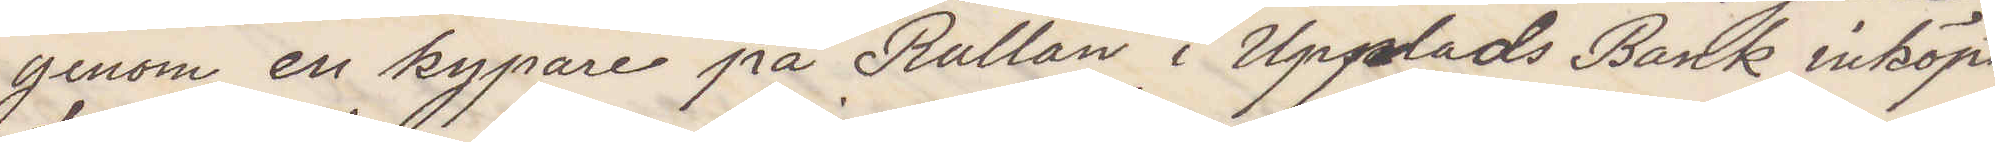genom en kypare på Rullan i Upplads Bank inköpt
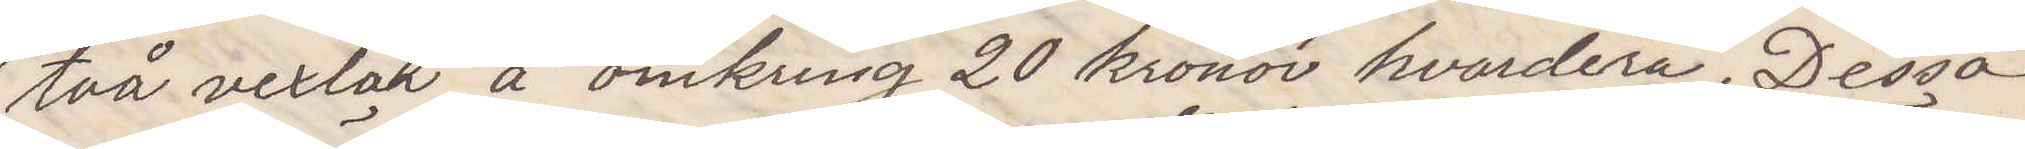två vexlar å omkring 20 kronor hvardera. Dessa
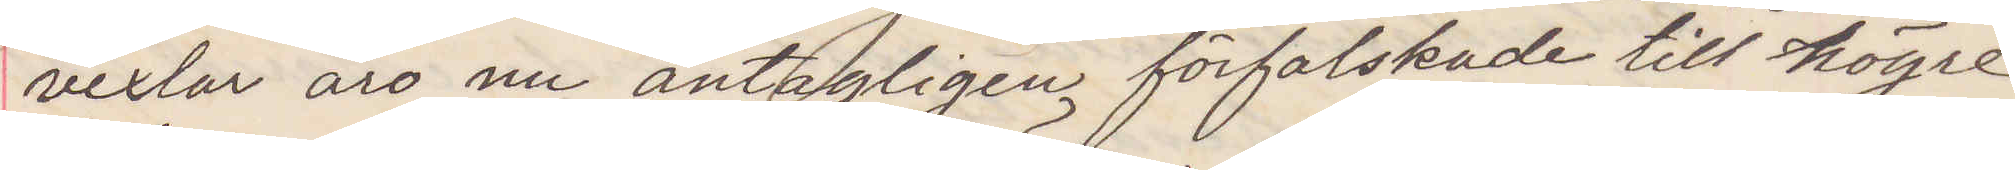vexlar äro nu antagligen förfalskade till högre
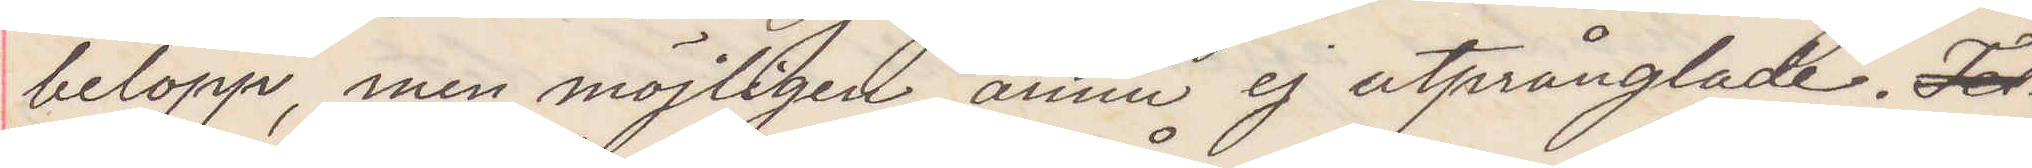belopp men möjligen ännu ej utprånglade. Tel
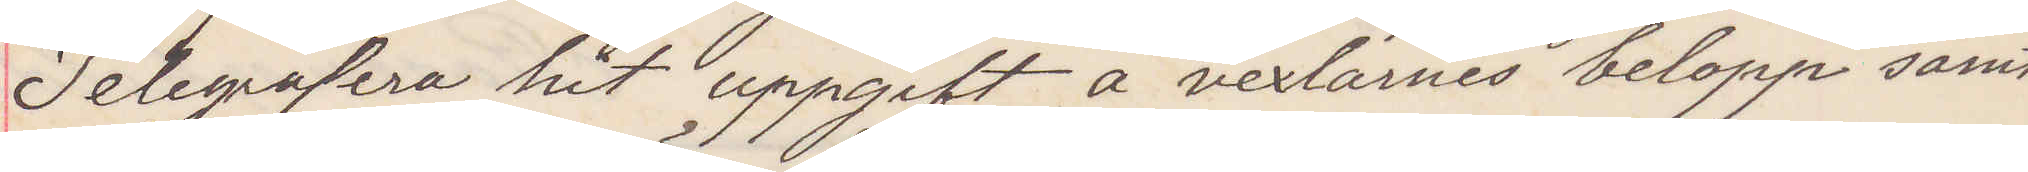Telegrafera hit uppgift å vexlarnes belopp samt
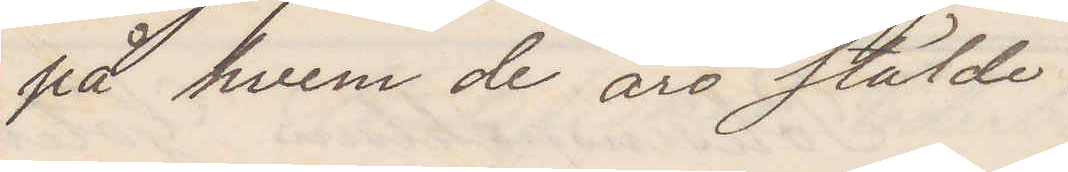på hvem de äro stälde.
